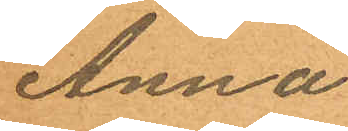Anna
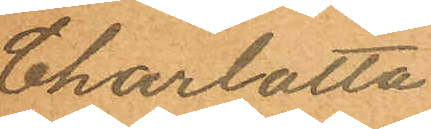Charlotta
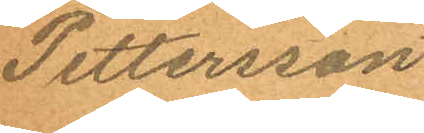Pettersson
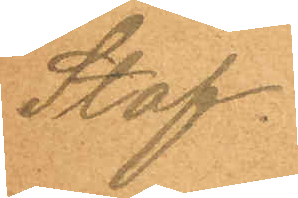Staf.
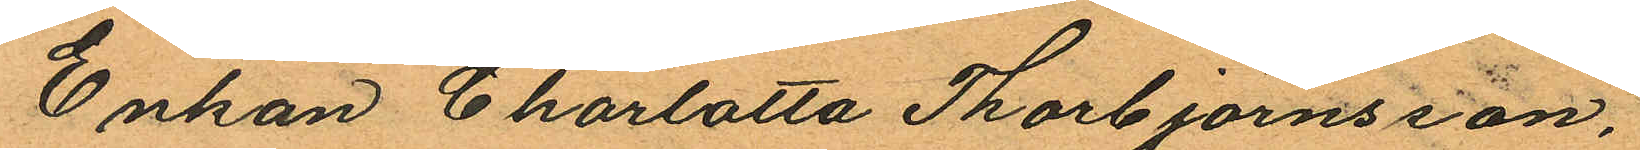Enkan Charlotta Thorbjörnsson,
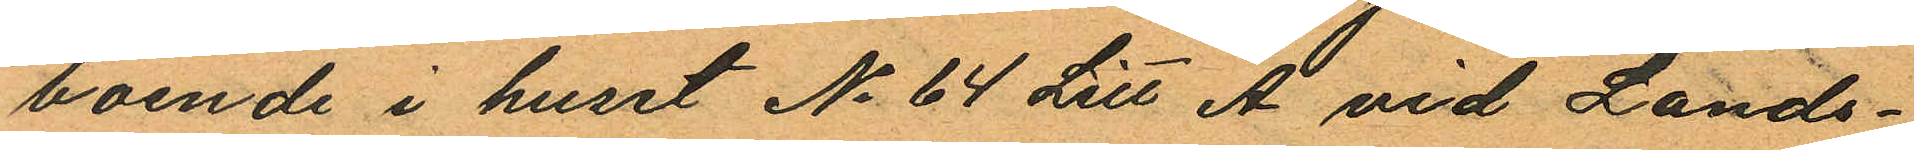boende i huset No 64 Litt A vid Lands¬
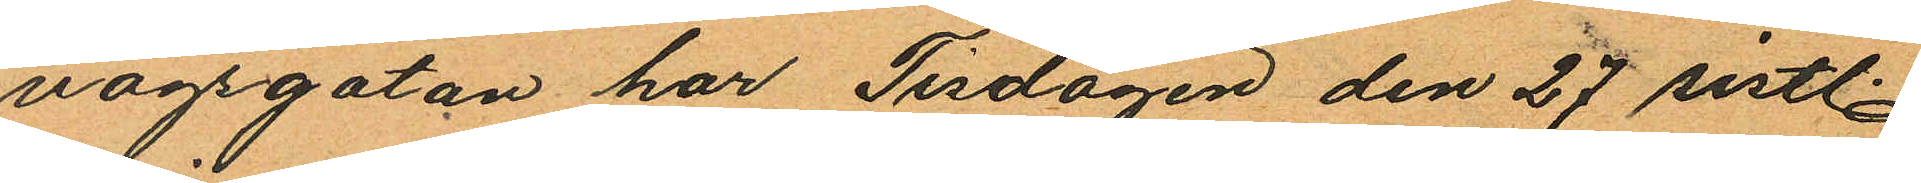vagsgatan har Tisdagen den 27 sistl.
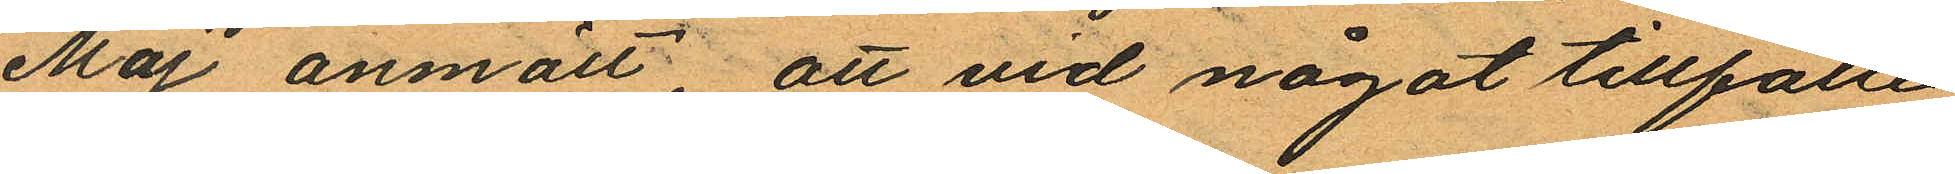Maj anmält att vid något tillfälle
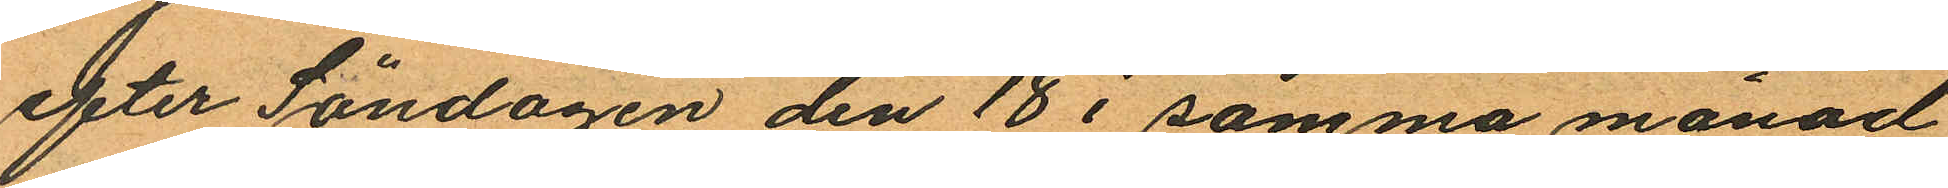efter Söndagen den 18 i samma månad
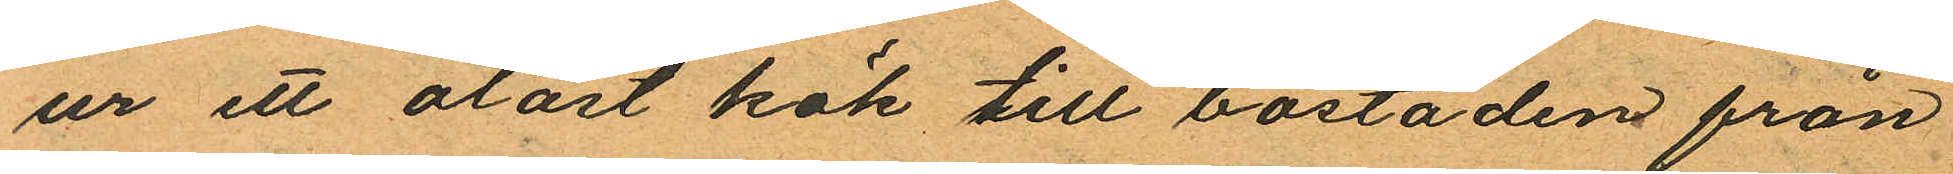ur ett olåst kök till bostaden från
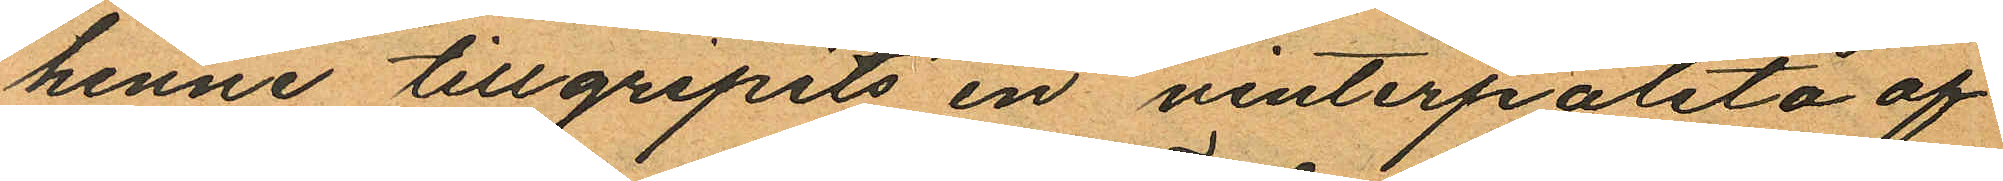henne tillgripits en vinterpaletå af
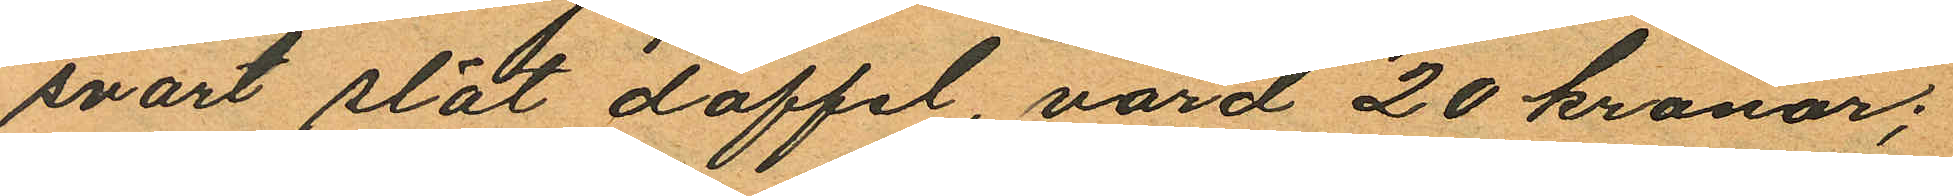svart slät doffel, värd 20 kronor;
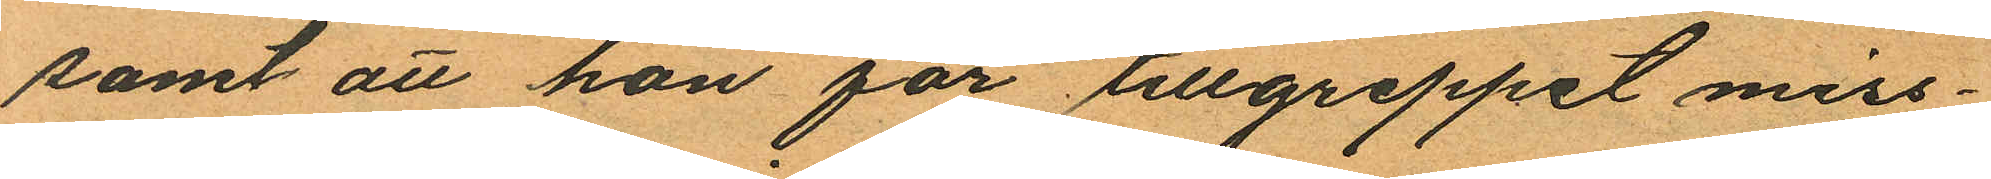samt att hon för tillgreppet miss¬
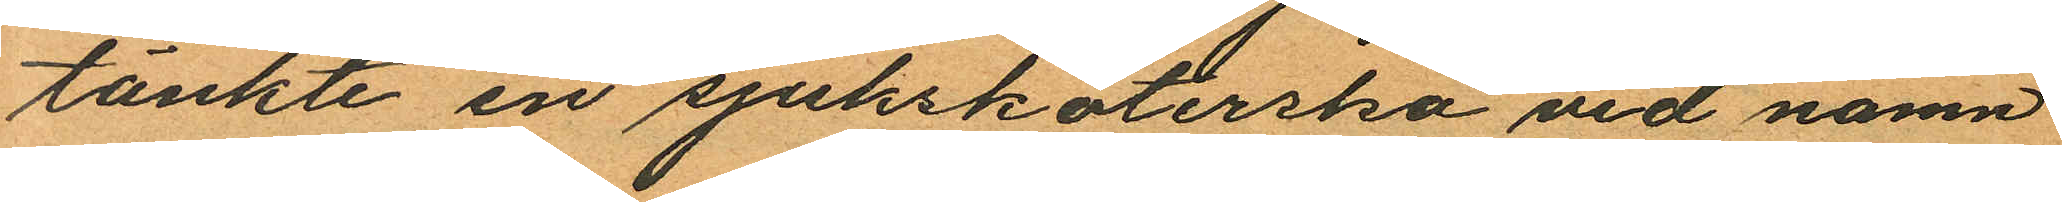tänkte en sjuksköterska vid namn
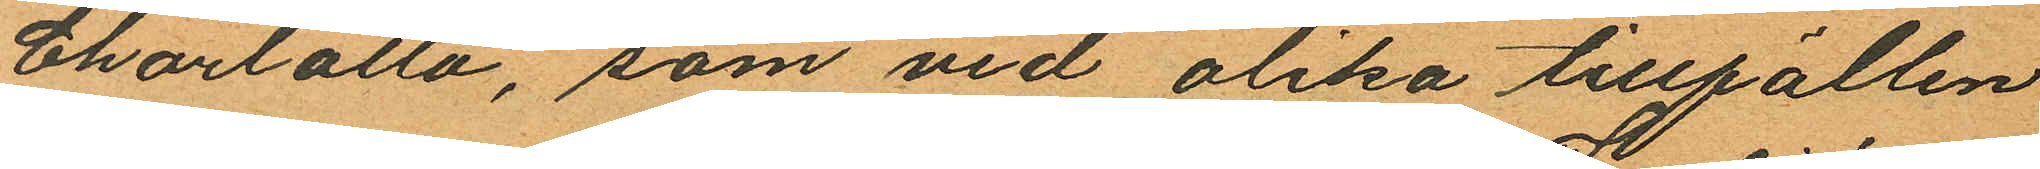Charlotta, som vid olika tillfällen
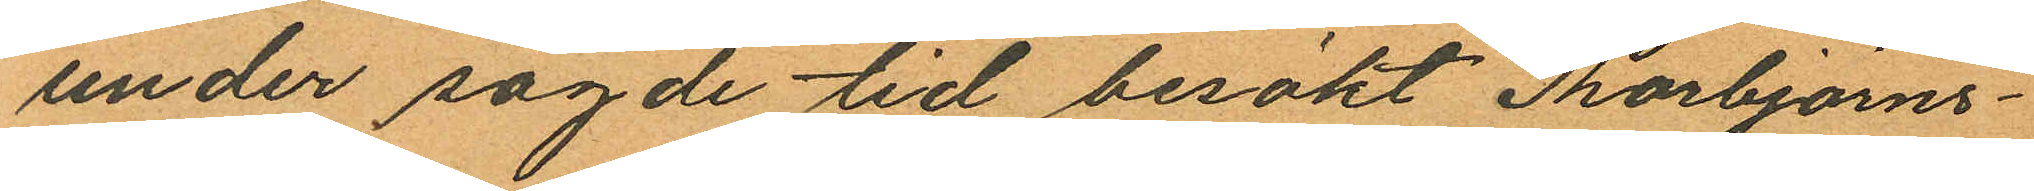under sagde tid besökt Thorbjörns¬
